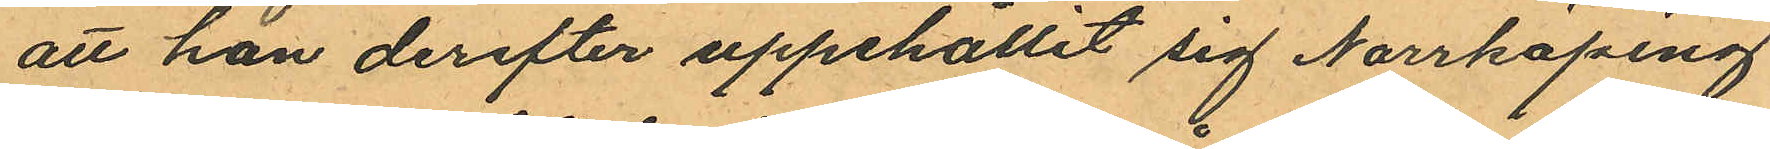att han derefter uppehållit sig Norrköping
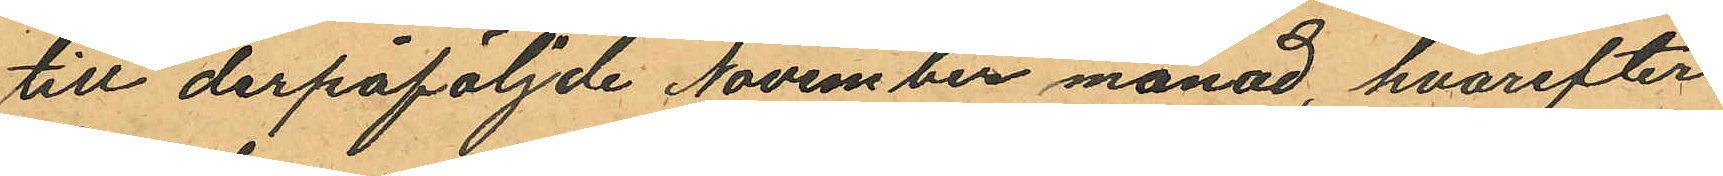till derpåföljnde November månad, hvarefter
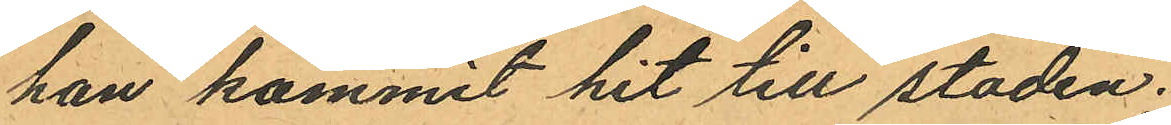han kommit hit till staden;
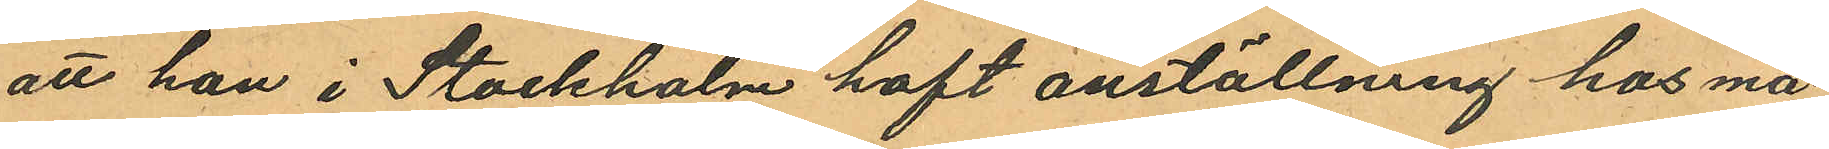att han i Stockholm haft anställning hos må¬
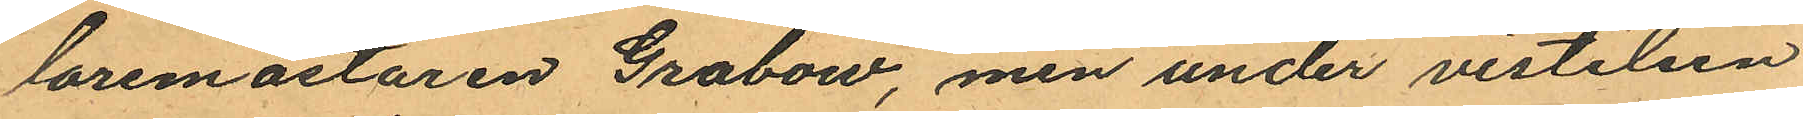laremästaren Grabow, men under vistelsen
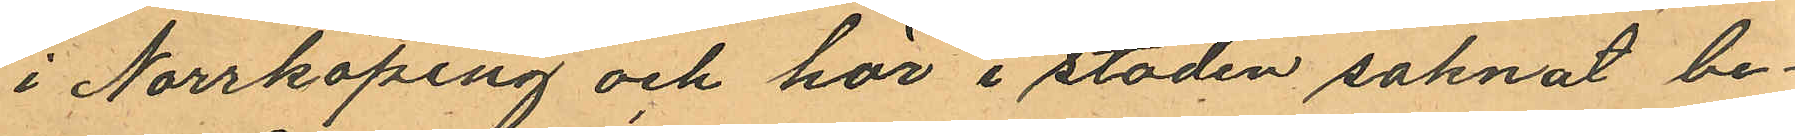i Norrköping och här i staden saknat be¬
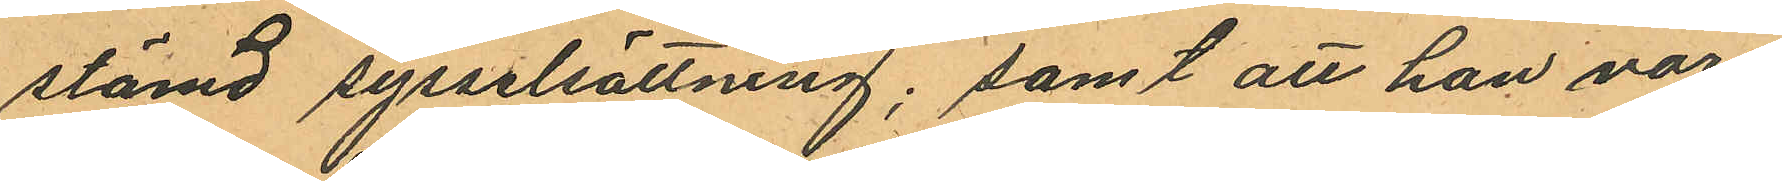stämd sysselsättning; samt att han vore
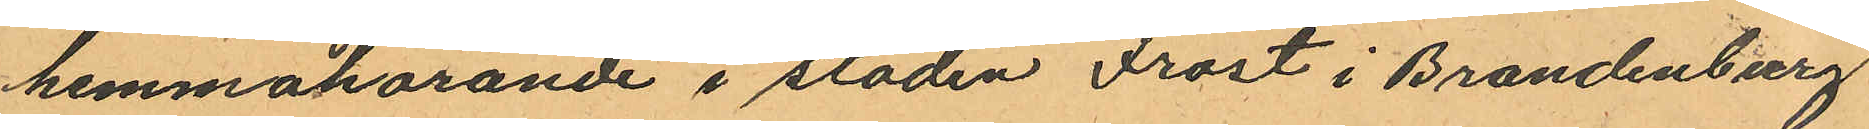hemmahörande i staden Frost i Brandenburg
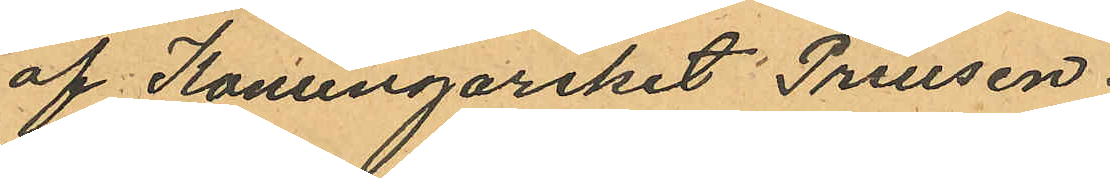af Konungariket Preusen.
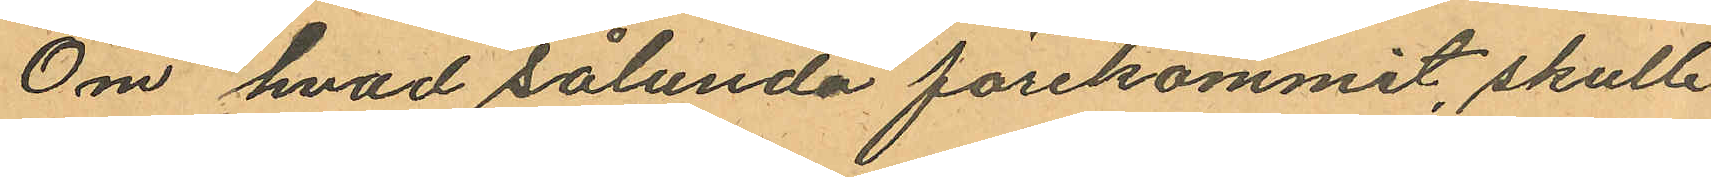Om hvad sålunda förekommit, skulle
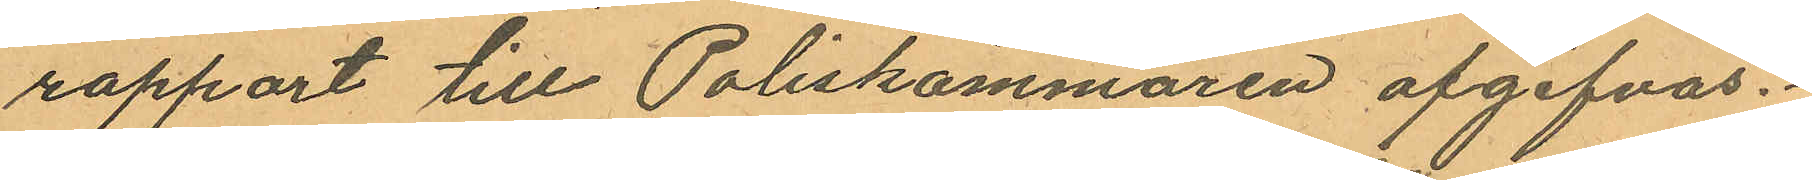rapport till Poliskammaren afgifvas.
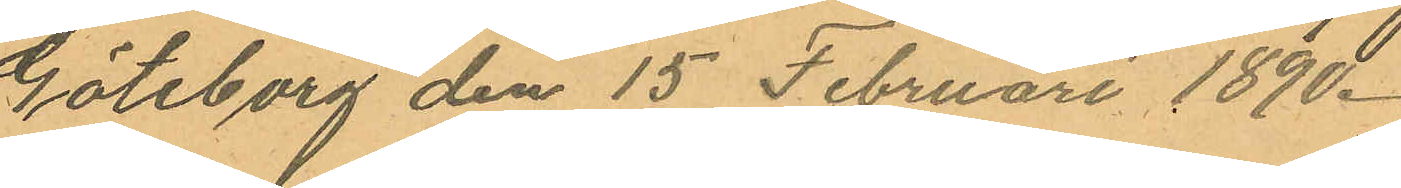Göteborg den 15 Februari 1890.
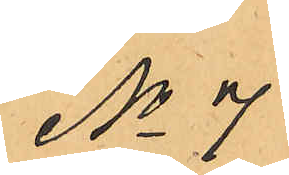No 7
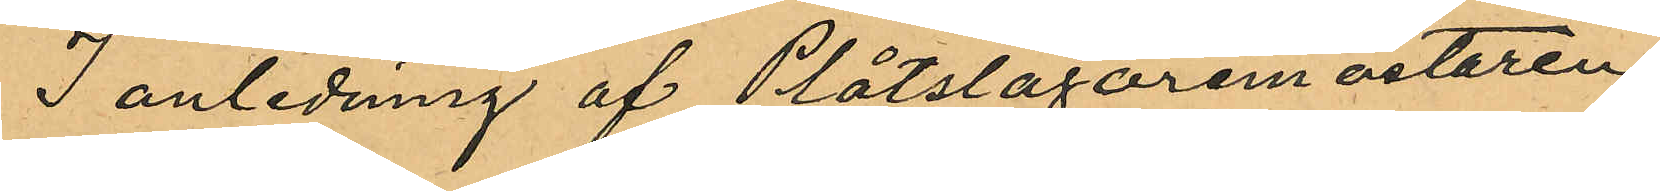I anledning af Plåtslagaremästaren
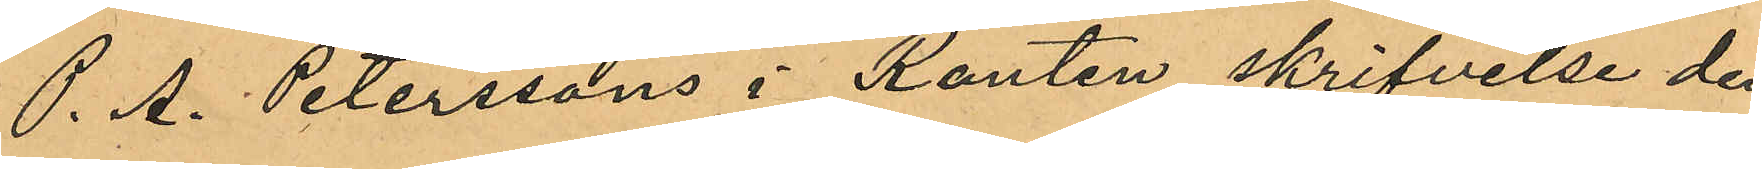P. A. Peterssons i Ranten skrifvelse den
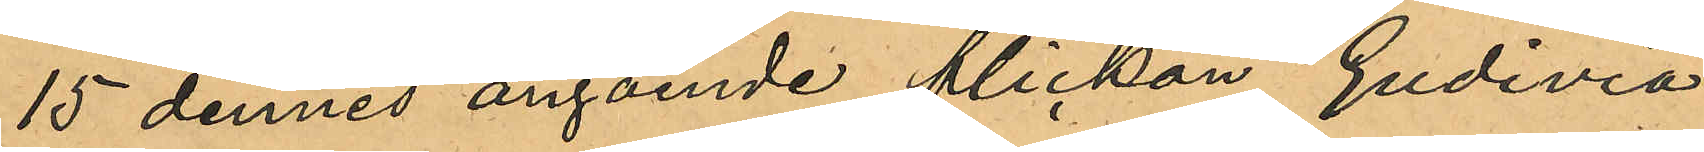15 dennes angående flickan Gudivia
